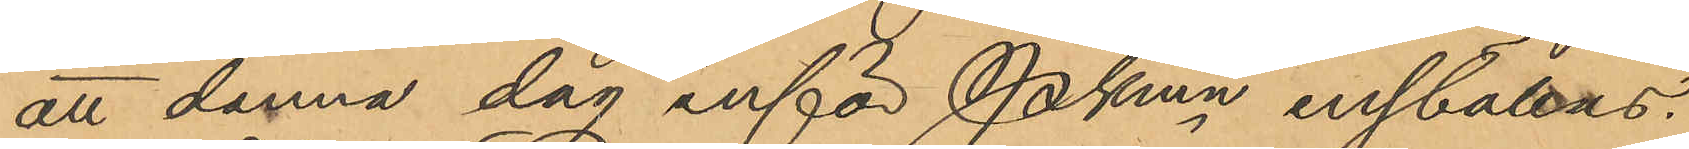att denna dag inför Pkmn inställas.
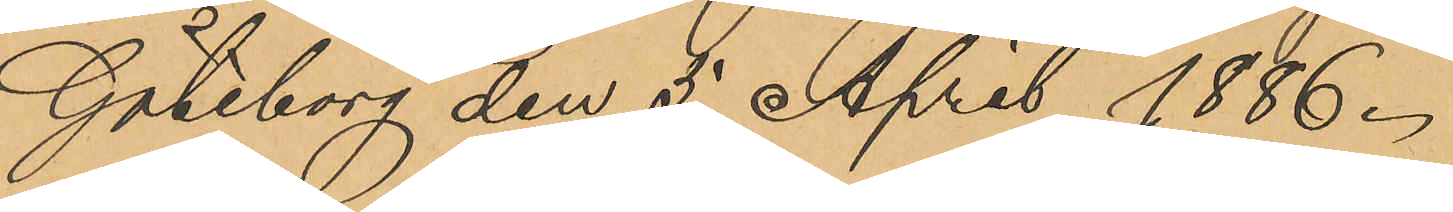Göteborg den 5 April 1886.
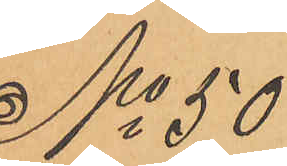No 50
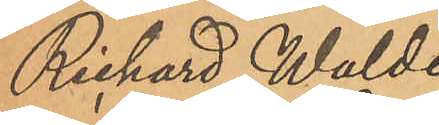Richard Walde¬
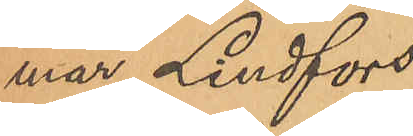mar Lindfors
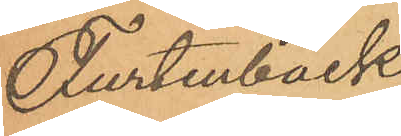Furtenback
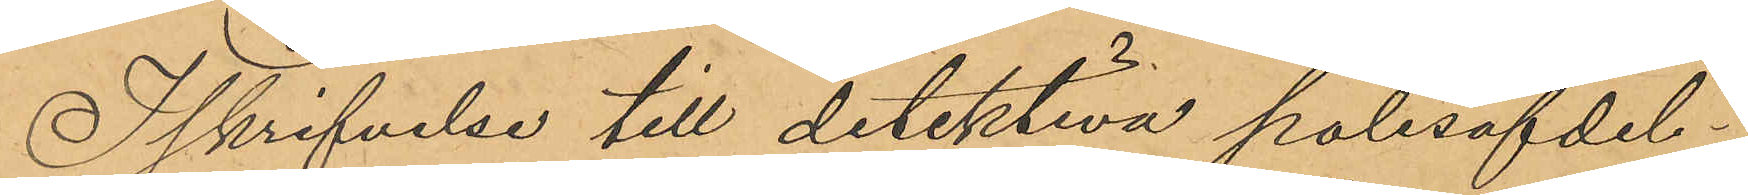I skrifvelse till detektiva polisafdel¬
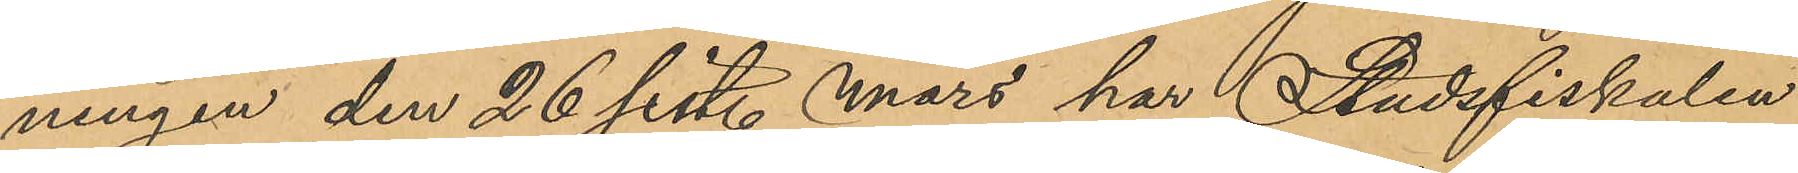ningen den 26 sist. Mars har Stadsfiskalen
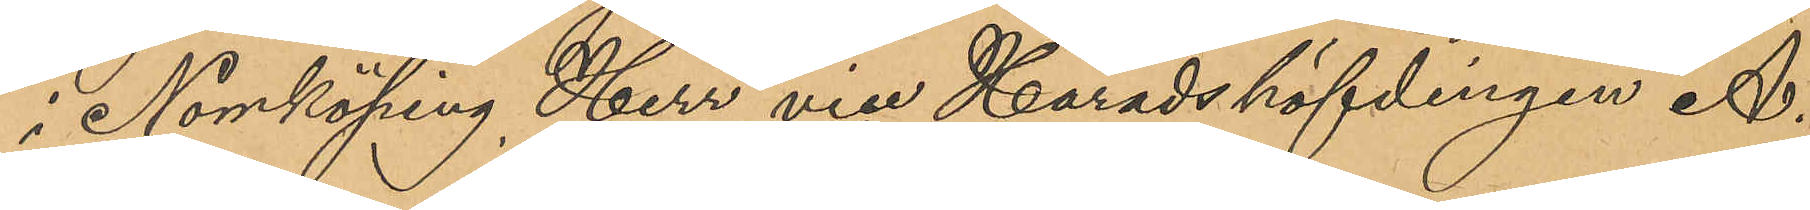i Norrköping, Herr vice Häradshöfdingen A.
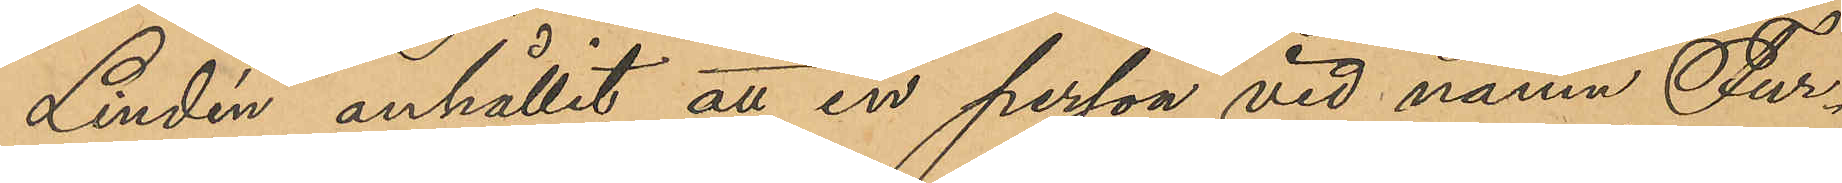Lindén anhållit att en person vid namn Fur¬
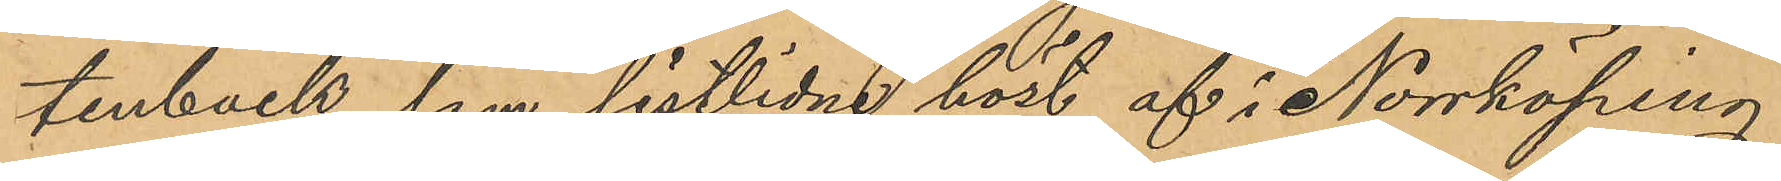tenback, som sistlidne höst af i Norrköping
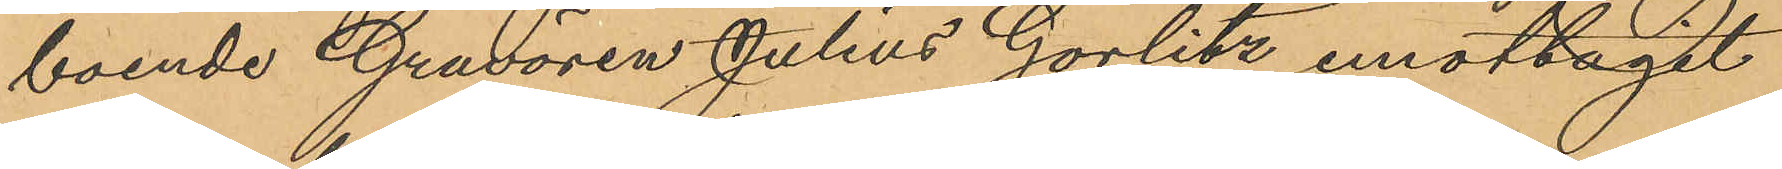boende Gravören Julius Gorlitz emottagit
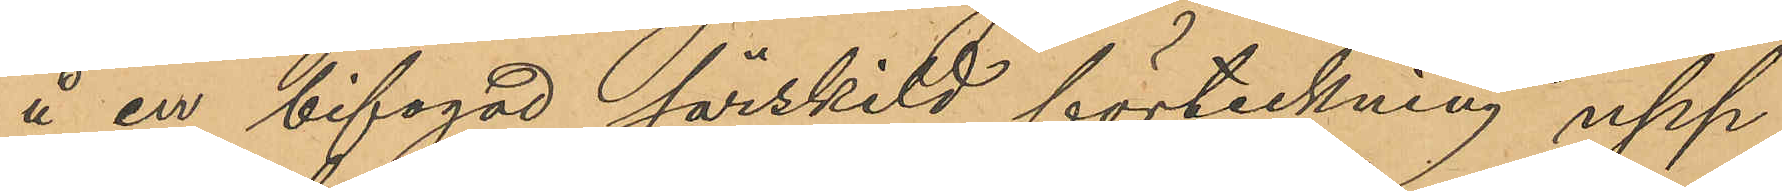å en bifogad särskild förteckning upp¬
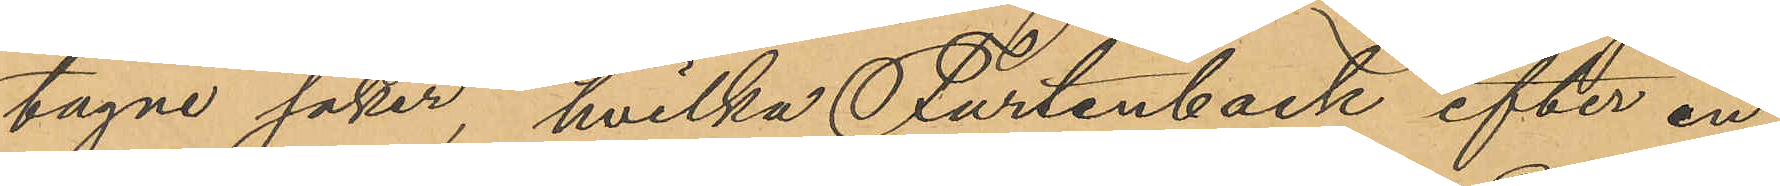tagne saker, hvilka Furtenback efter en
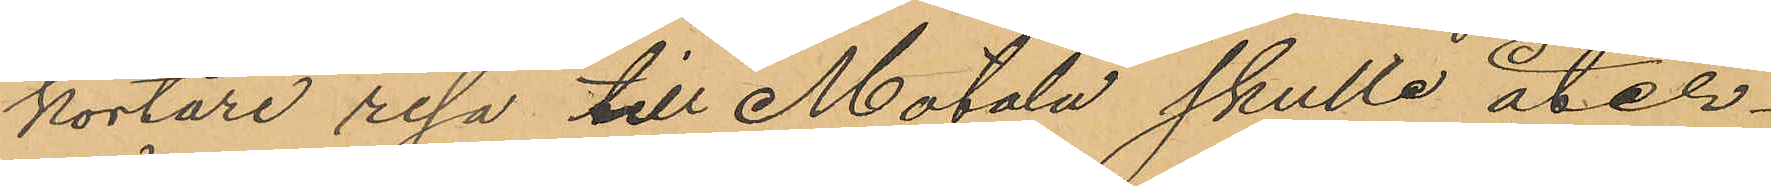kortare resa till Motala skulle åter¬
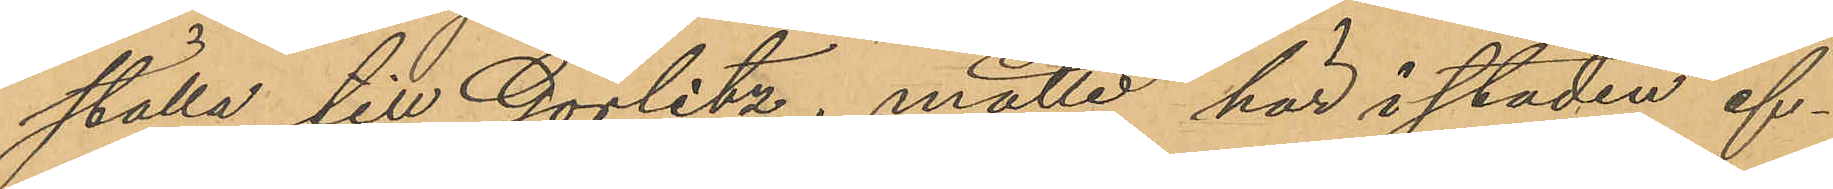ställa till Görlitz, måtte här i staden ef¬
